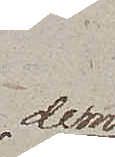dem
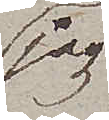jag
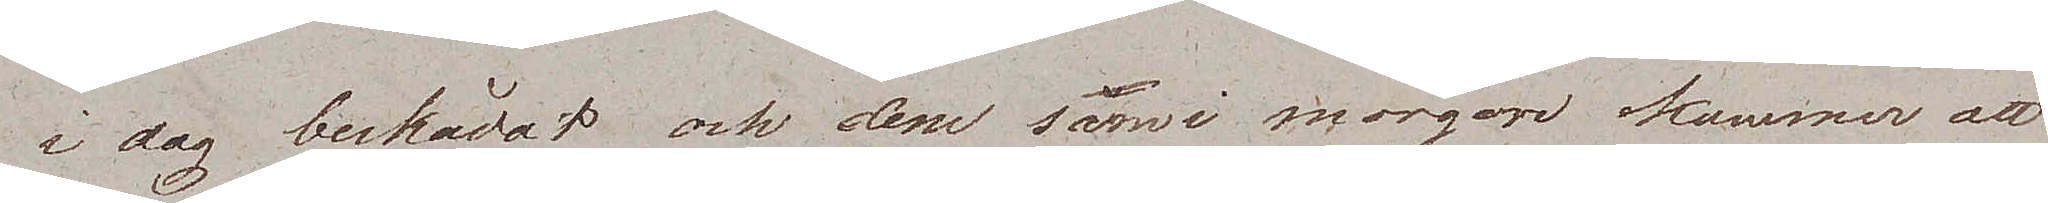i dag beskådat och dem som i morgon kommer att
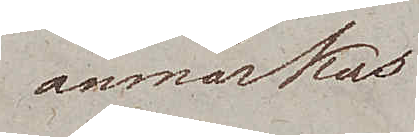anmärkas
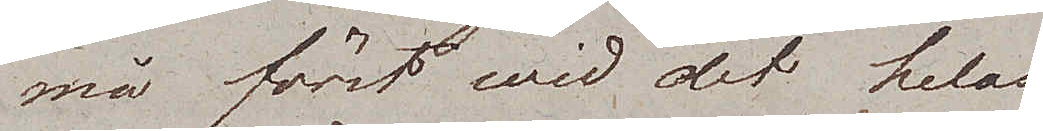må först wid det helas
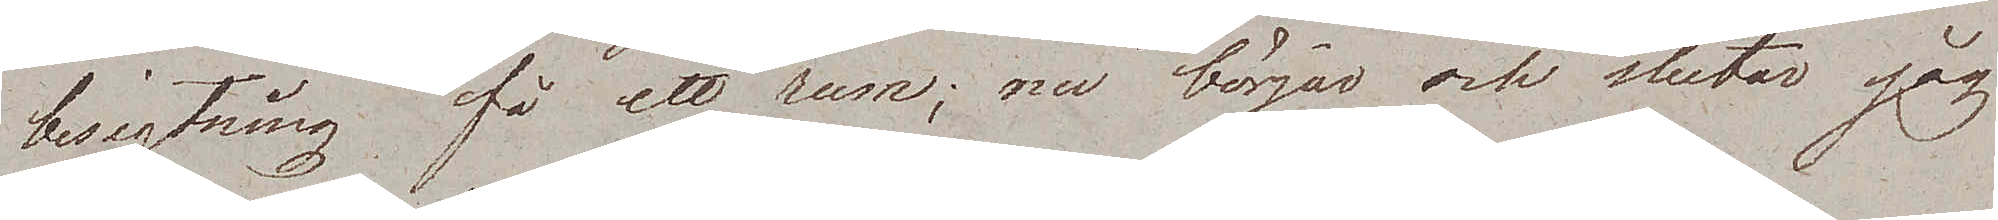besigtning få ett rum; nu börjar och slutar jag
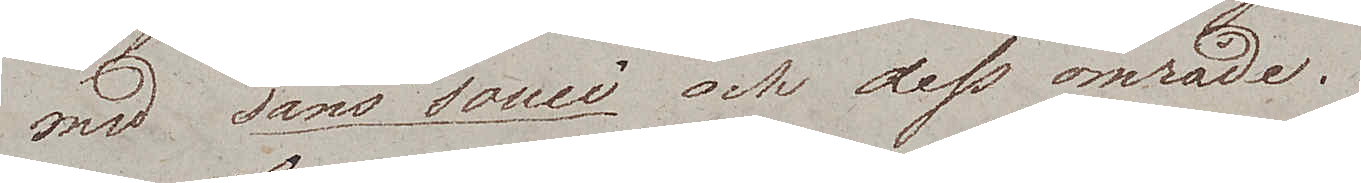med Sans Souci och dess område.
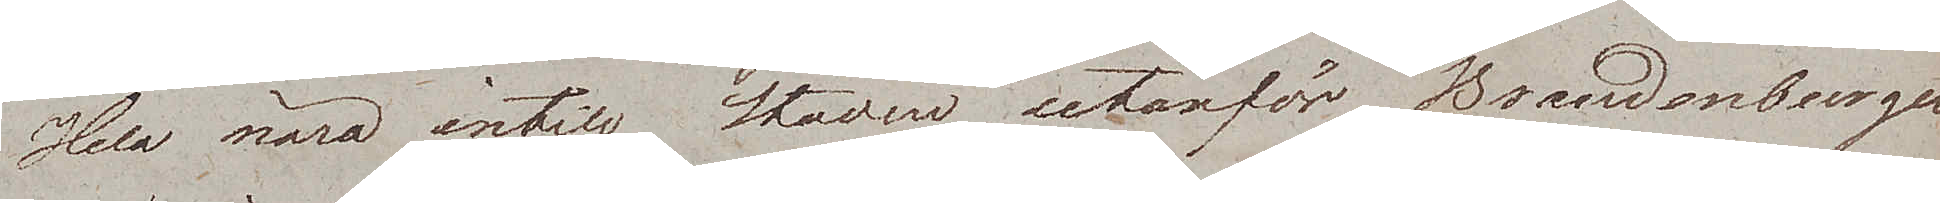Helt nära intill staden utanför Brandenburger
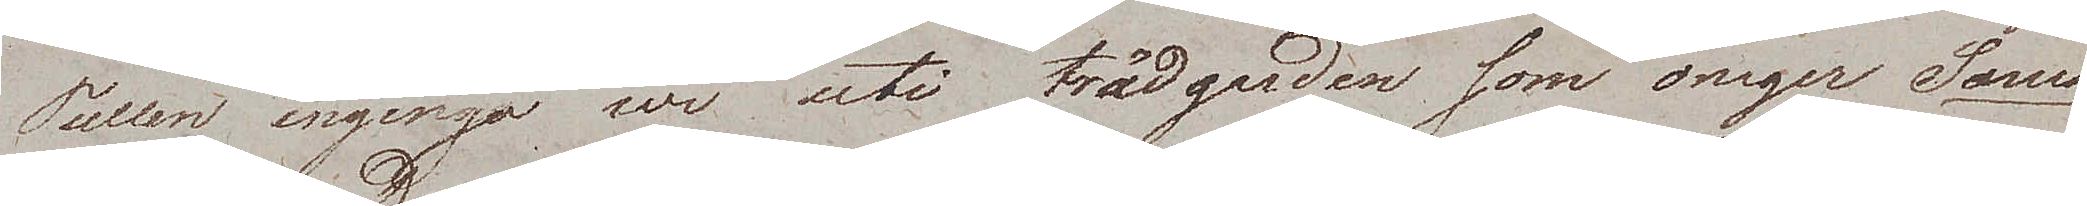Tullen ingingo wi uti trädgården som omger Sans
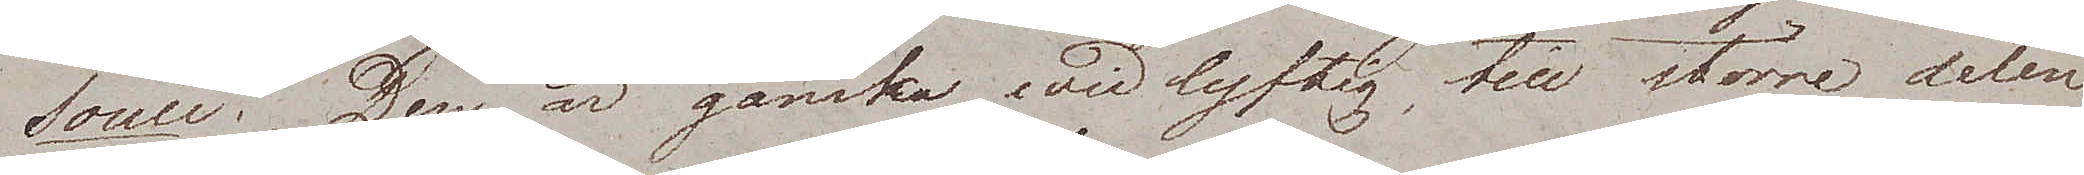Souci. Den är ganska widlyftig, till större delen
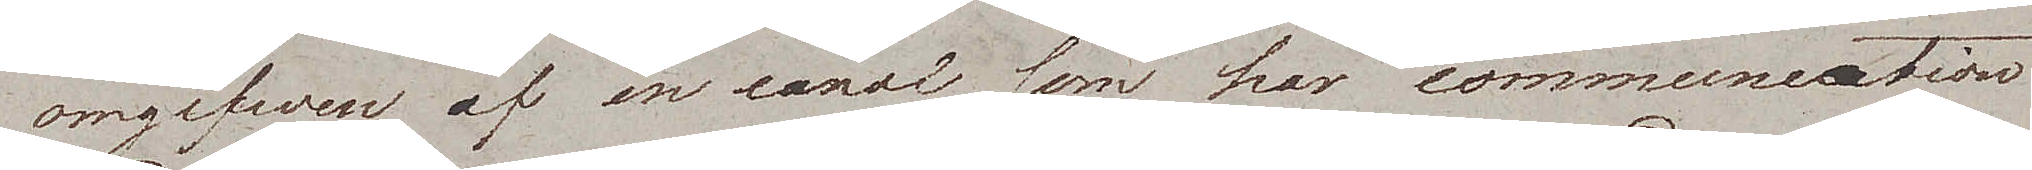omgifven af en canal som har communication
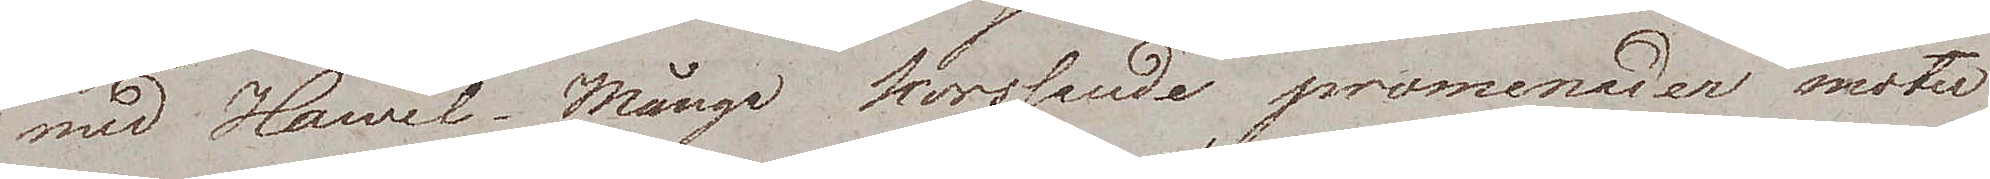med Havel. Många korsande promenader möter
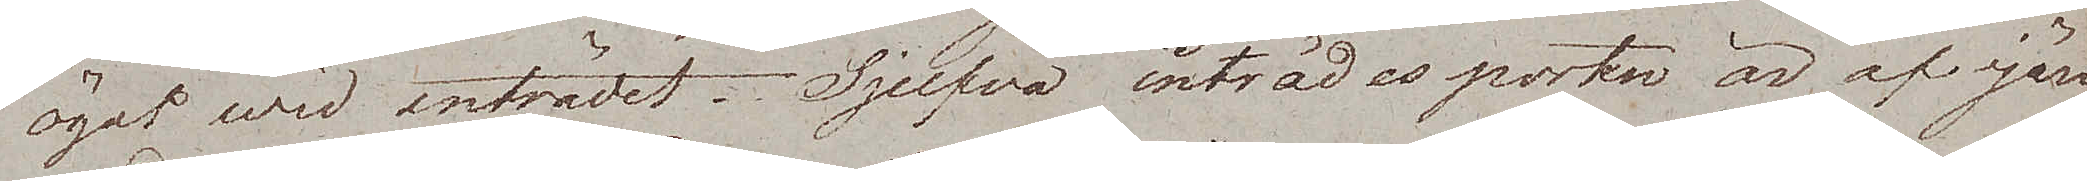ögat wid inträdet. Sjelfva inträdesporten är af järn
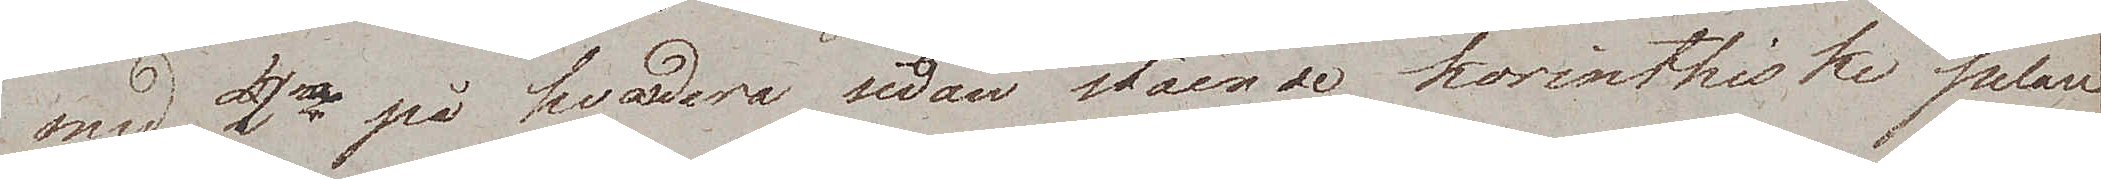med 2ne på hvadera sidan stående korinthiske pelare.
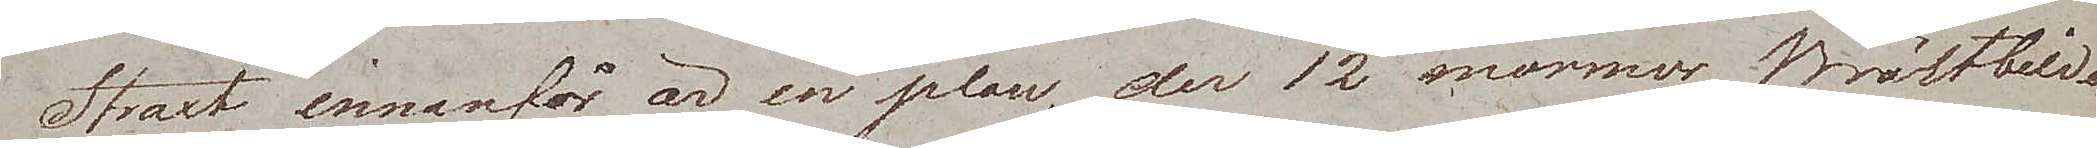Straxt innanför är en plan, der 12 marmor Bröstbilder
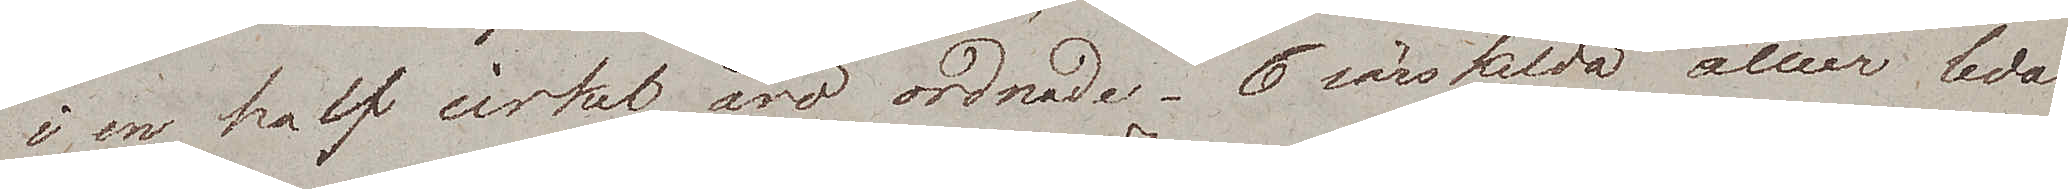i en half cirkel äro ordnade. 6 särskilda alléer leda
